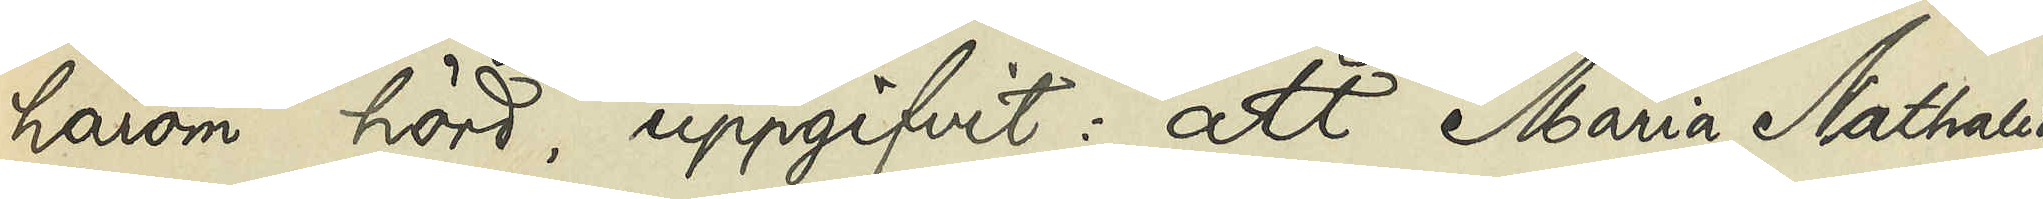härom hörd uppgifvit: att Maria Nathalia
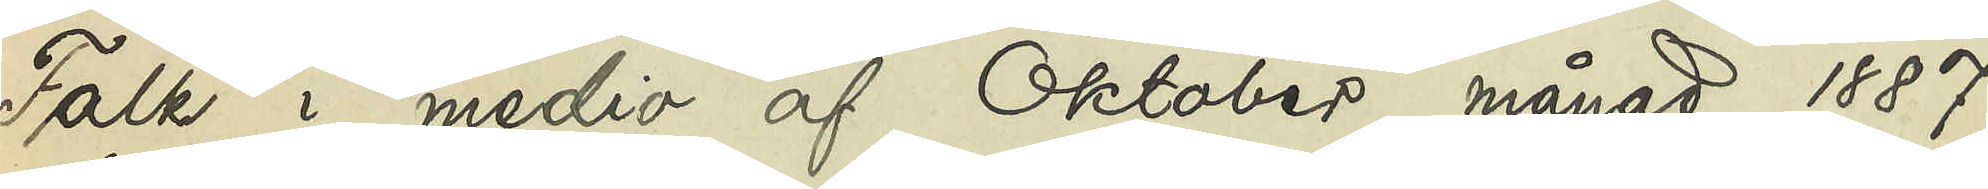Falk i medio af Oktober månad 1887
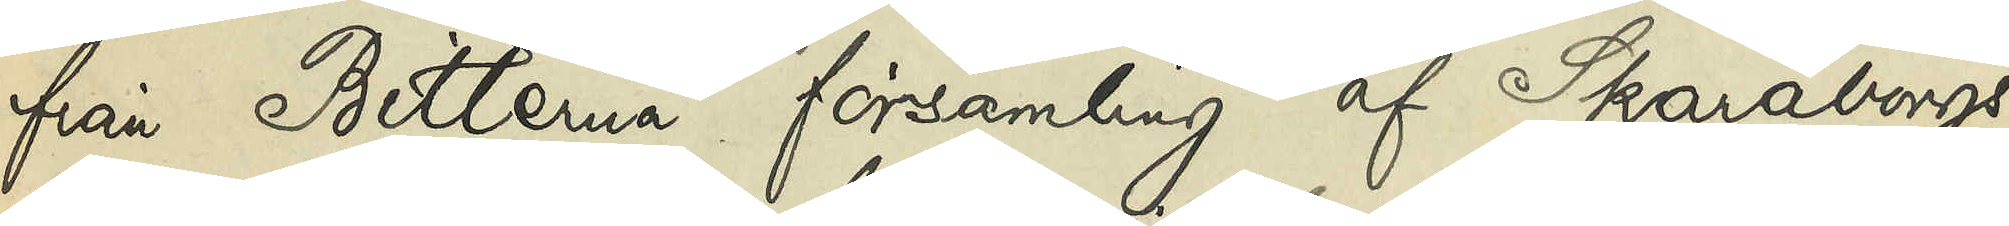från Bitterna församling af Skaraborgs
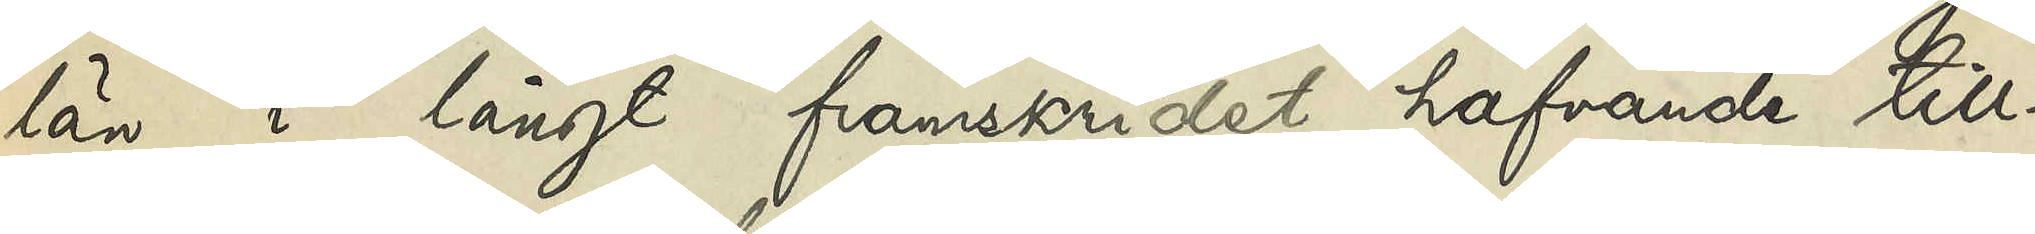län i långt framskridet hafvande till¬
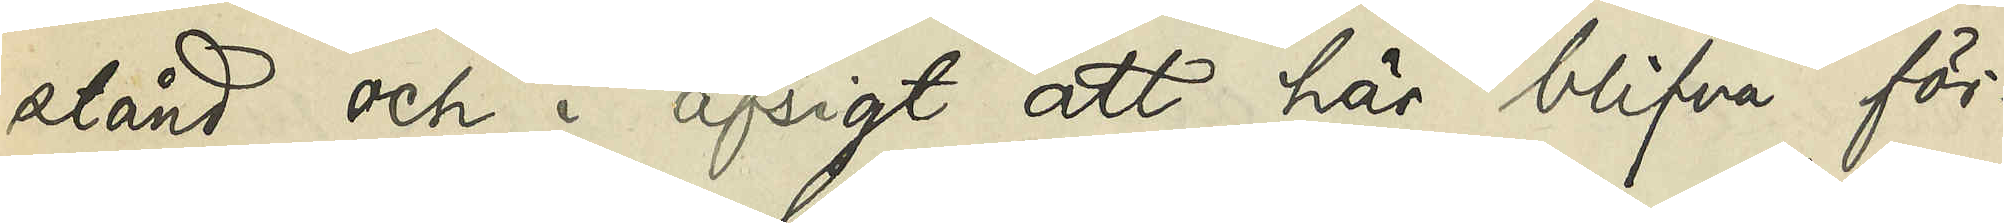stånd och i afsigt att här blifva för¬
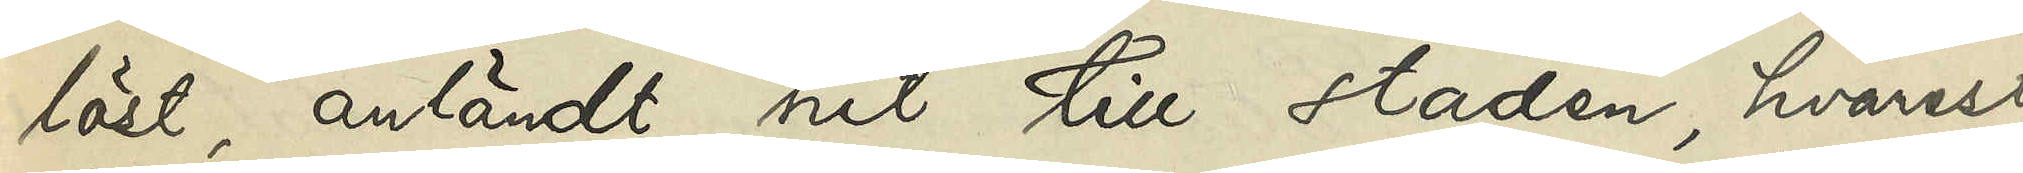löst, anländt hit till staden, hvarest
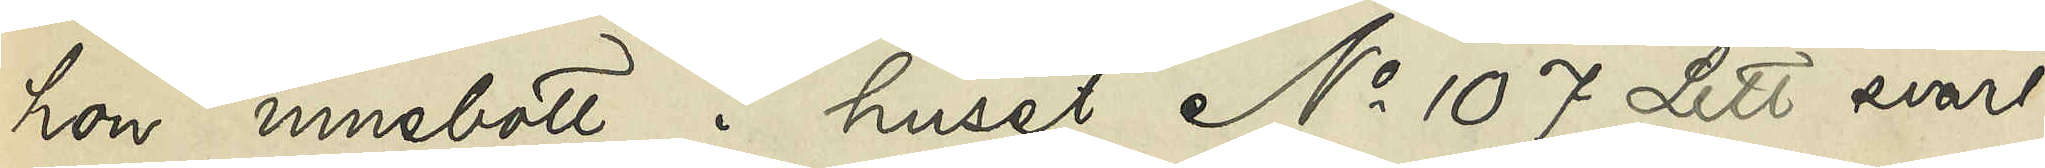hon innebott i huset No 107 Litt. svart
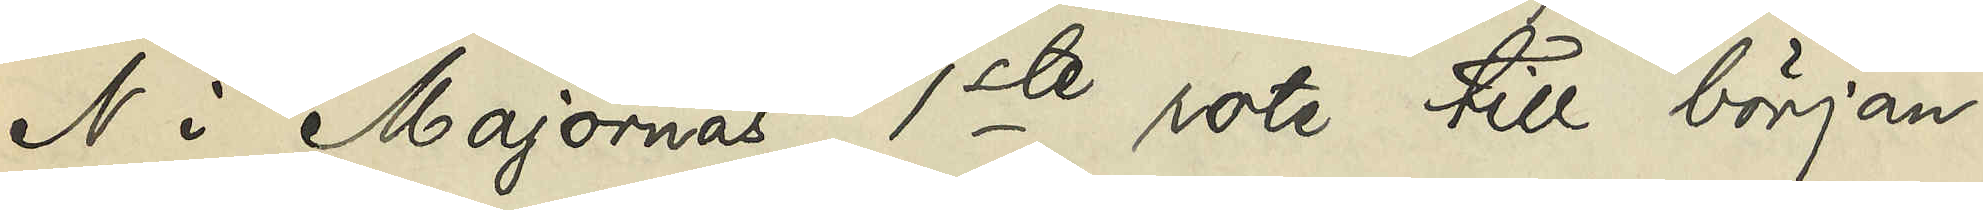N i Majornas 1ste rote till början
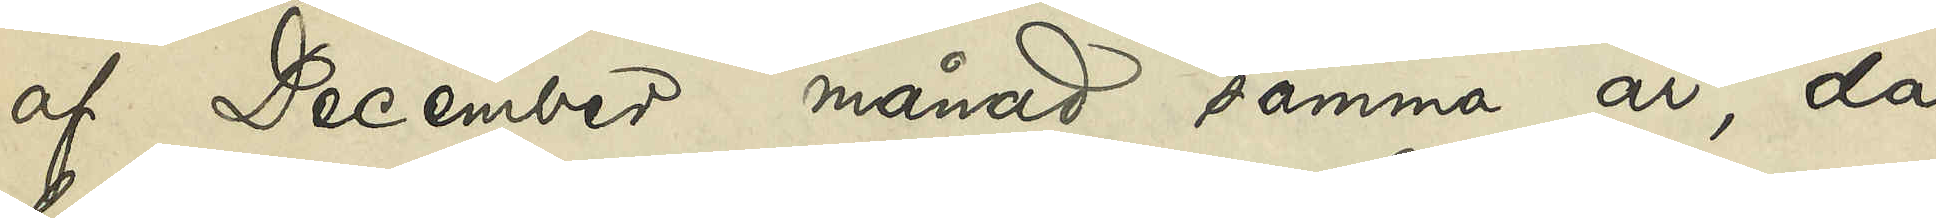af December månad samma år, då
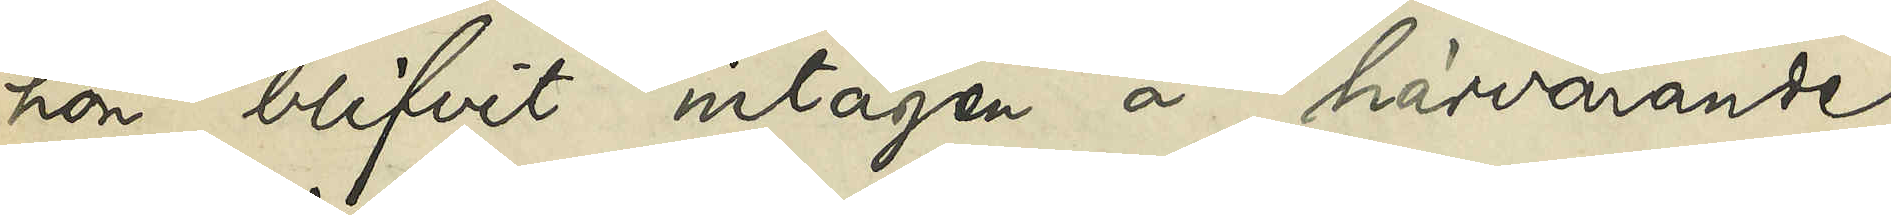hon blifvit intagen å härvarande
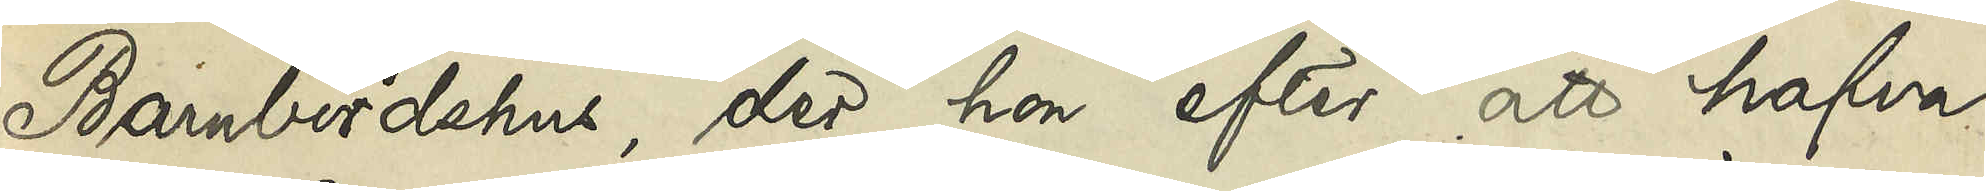Barnbördshus, der hon efter att hafva
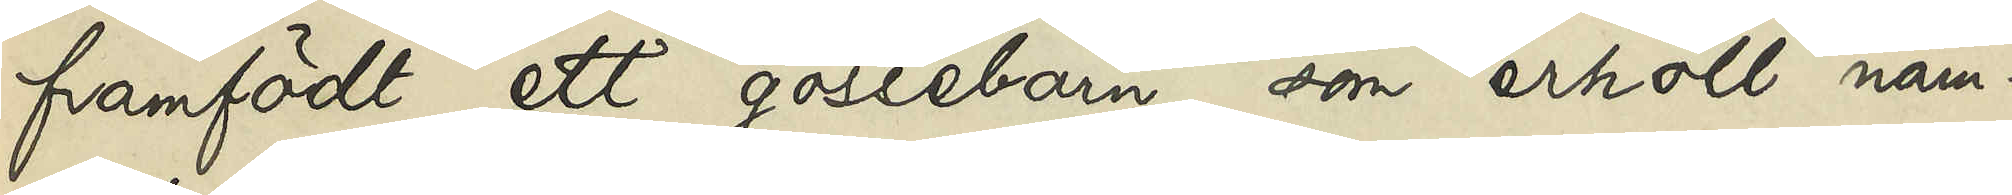framfödt ett gossebarn som erhöll nam¬
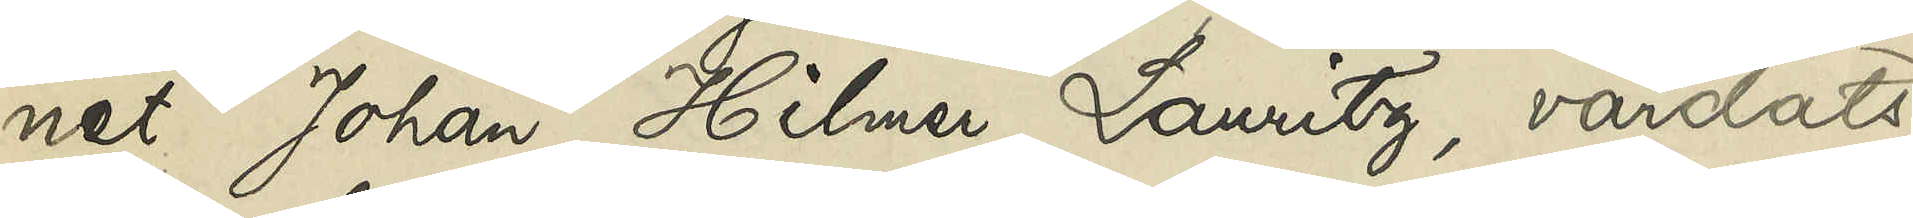net Johan Hilmer Lauritz, vårdats
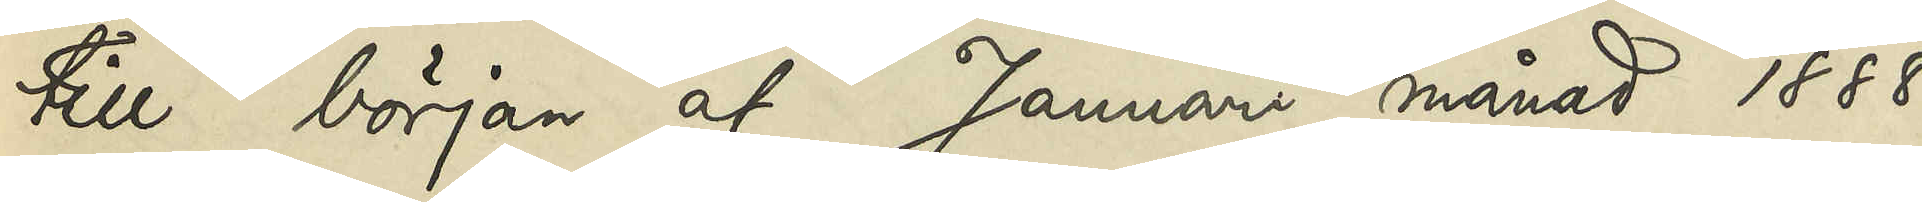till början af Januari månad 1888,
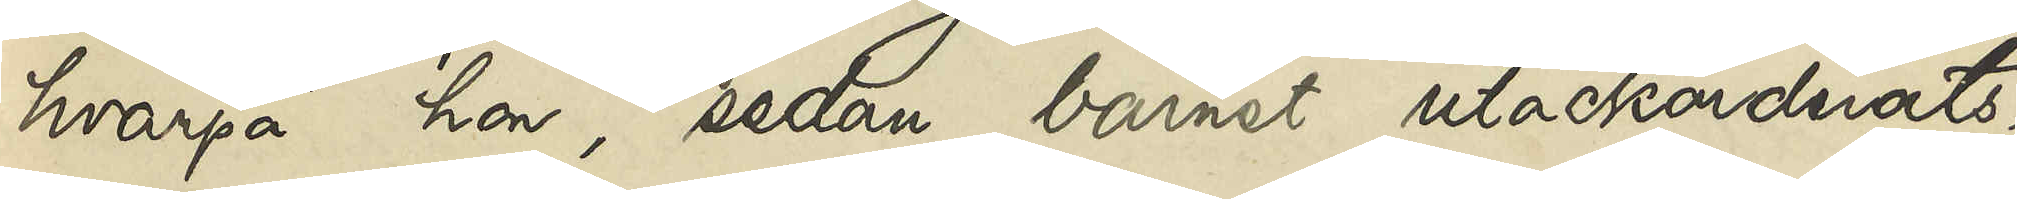hvarpå hon, sedan barnet utackorderats,
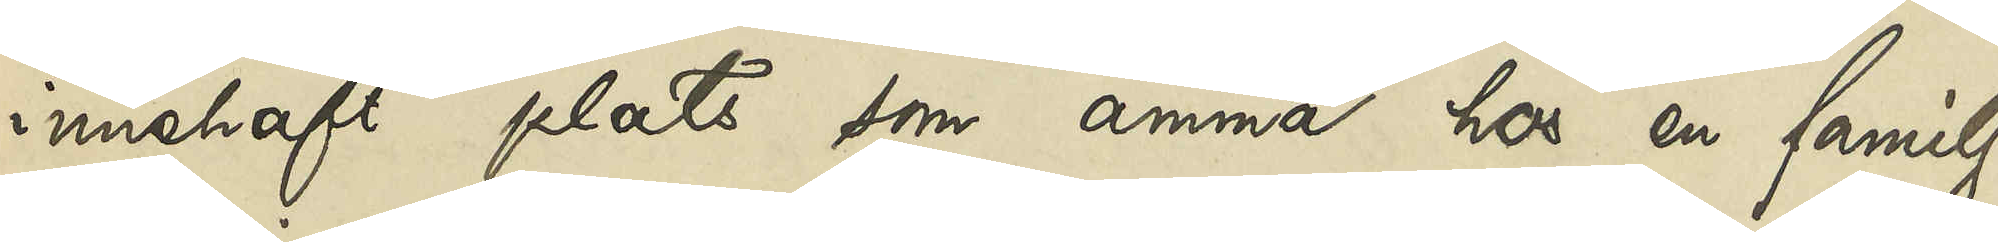innehaft plats som amma hos en familj
